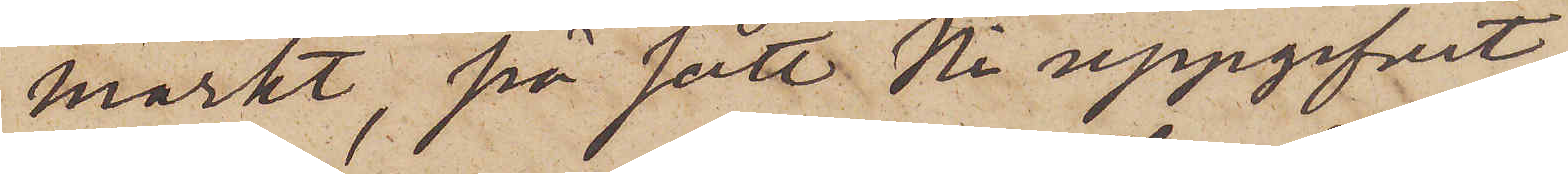märkt, på sätt Ni uppgifvit,
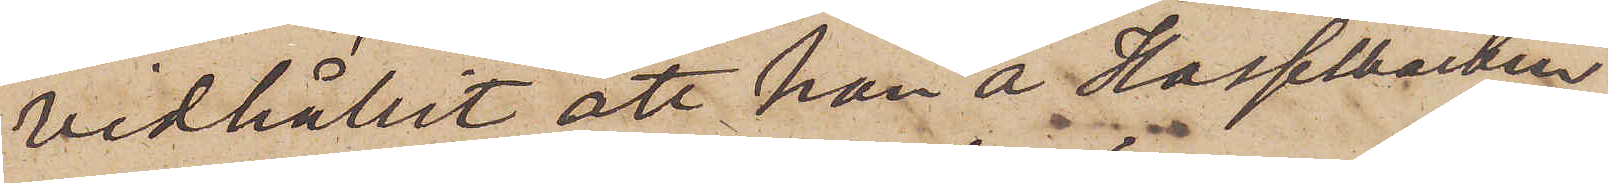vidhållit att han å Hasselbacken
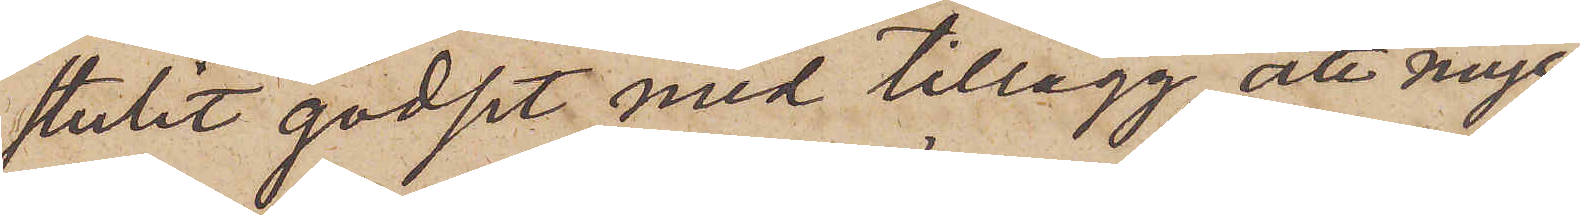stulit godset med tillägg, att myc¬
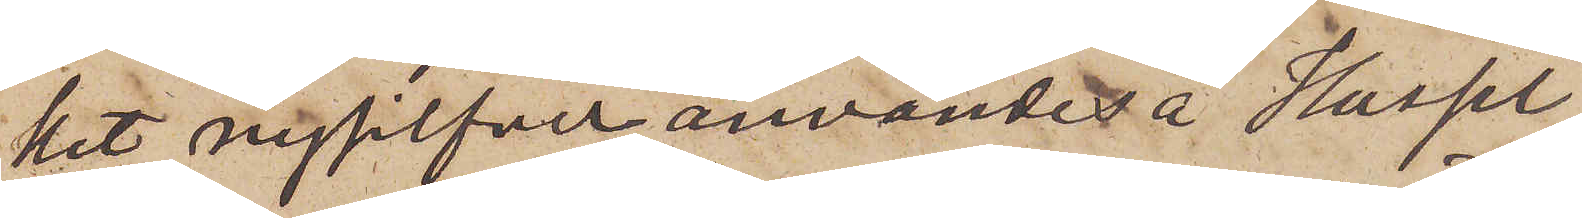ket nysilfver användes å Hassel¬
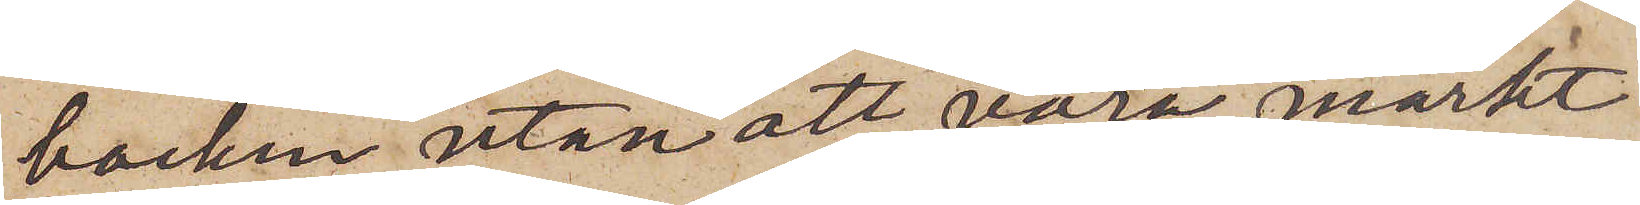backen utan att vara märkt
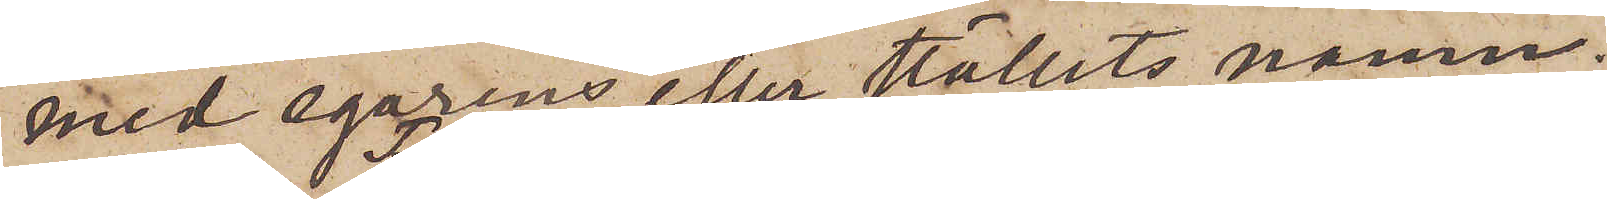med egarens eller ställets namn.
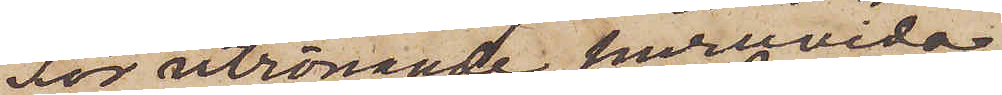För utrönande huruvida
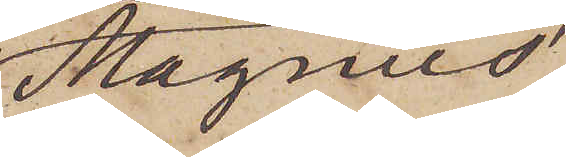Magnus´
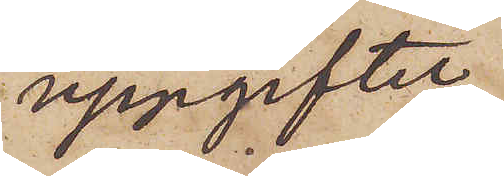uppgifter
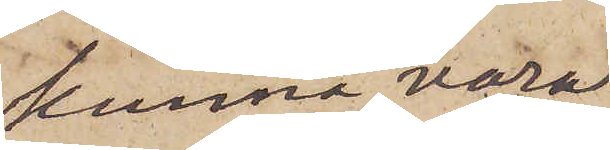kunna vara
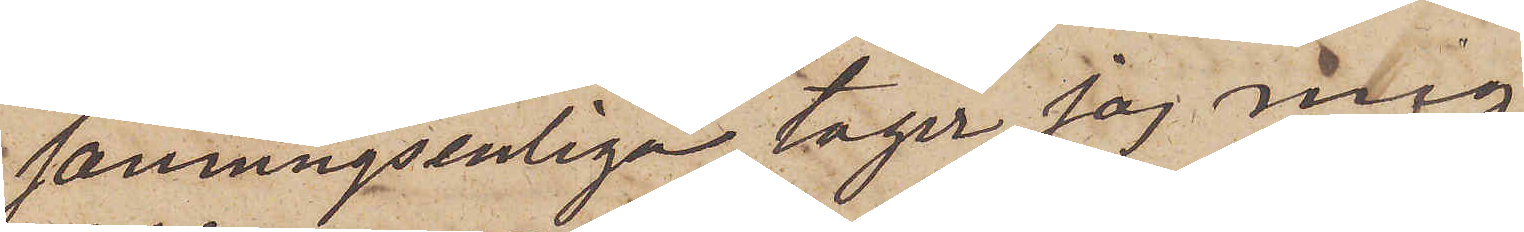sanningsenliga, tager jag mig
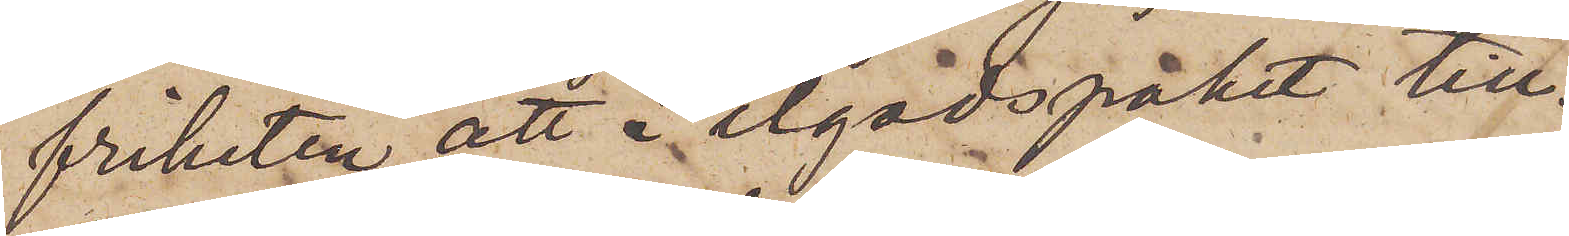friheten att i ilgodspaket till¬
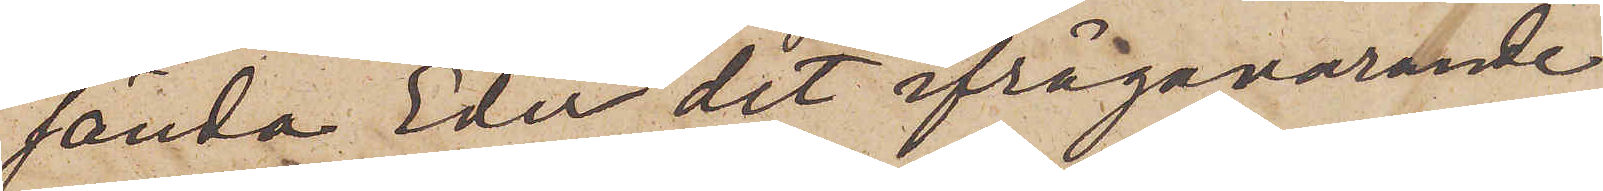sända Eder det ifrågavarande
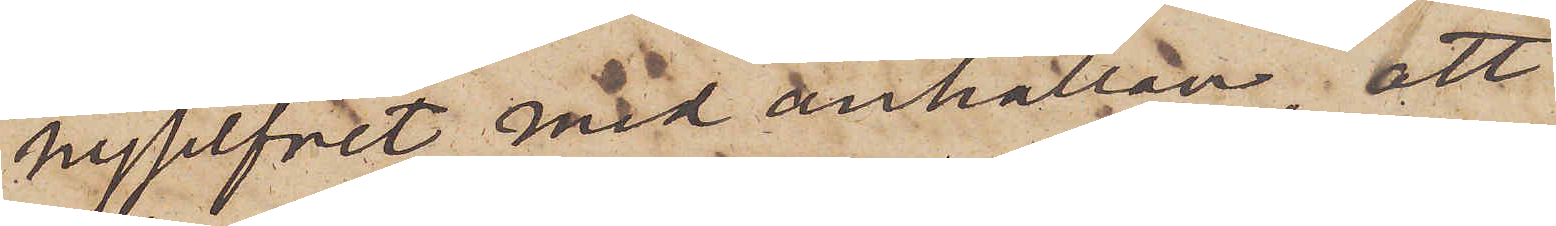nysilfvet med anhållan, att
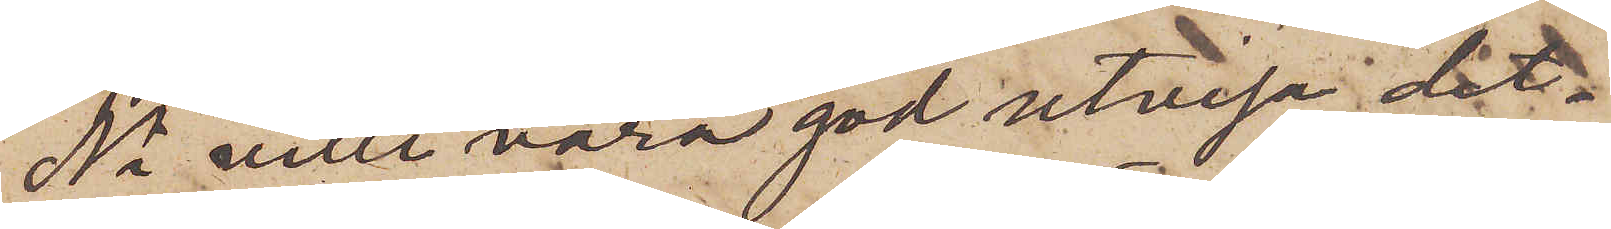Ni ville vara god utvisa det¬
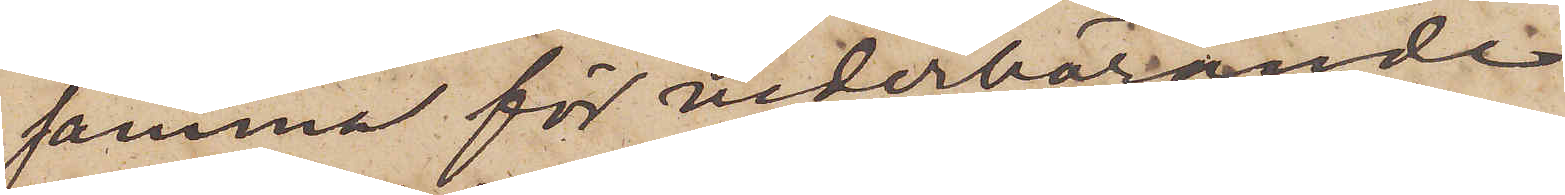samma för vederbörande
